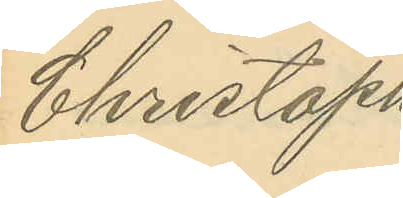Christoph
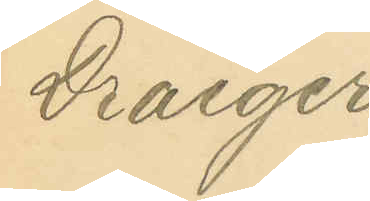Draeger.
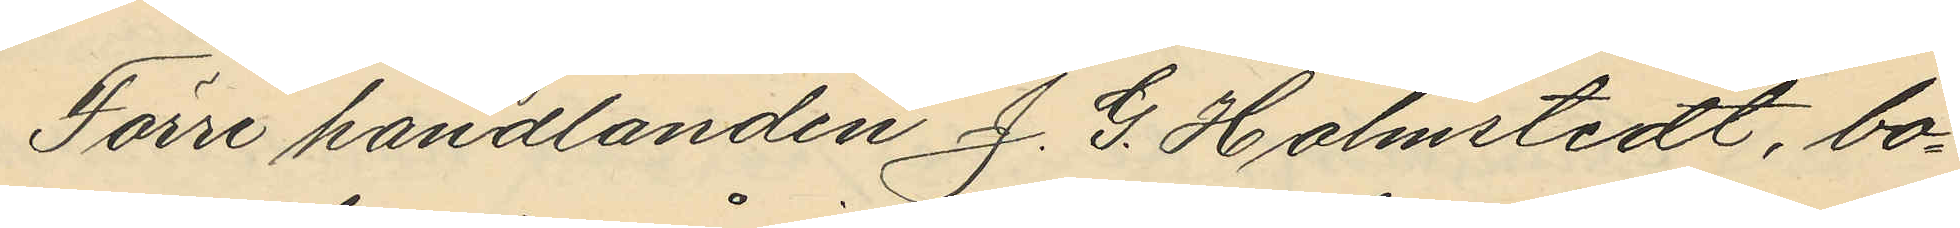Förre handlanden J. G. Holmstedt, bo¬
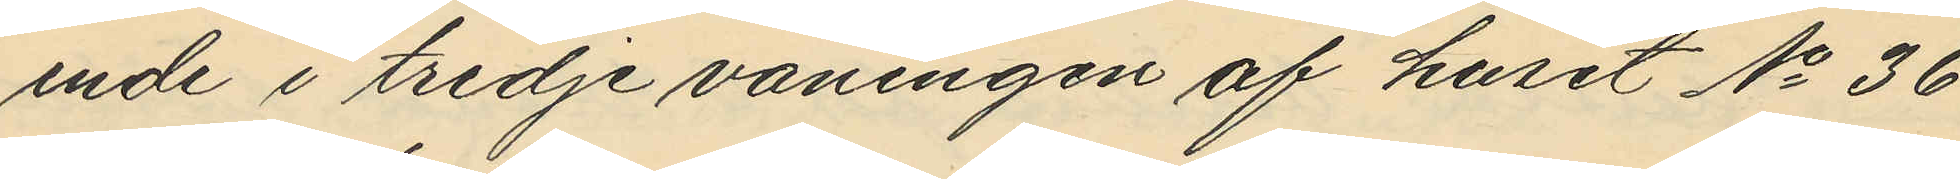ende i tredje våningen af huset No 36
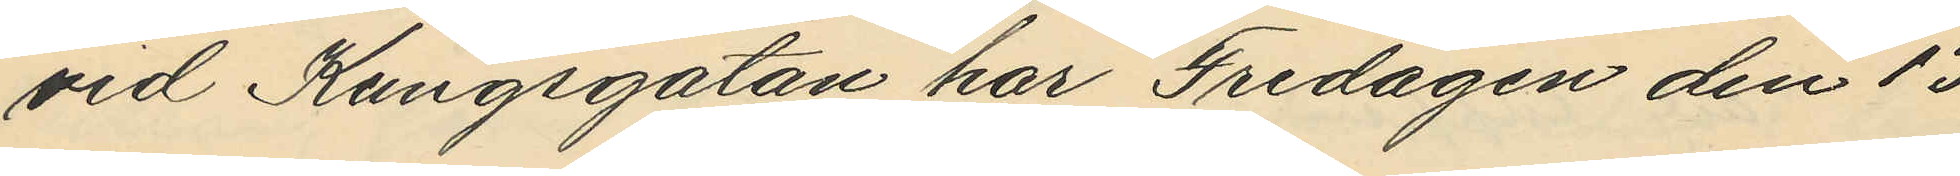vid Kungsgatan har Fredagen den 13
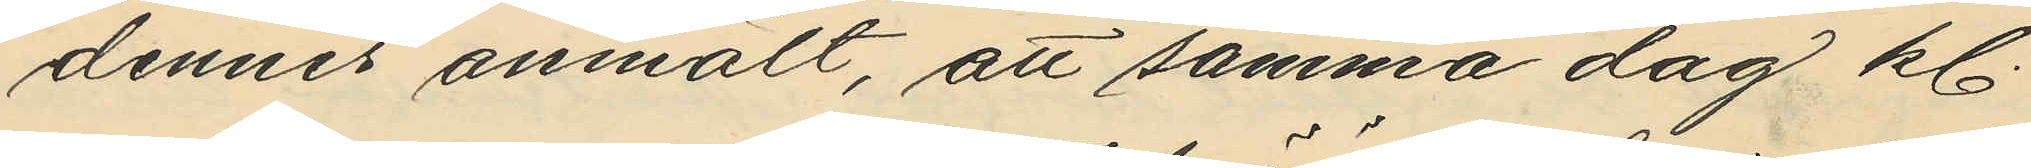dennes anmält, att samma dag kl
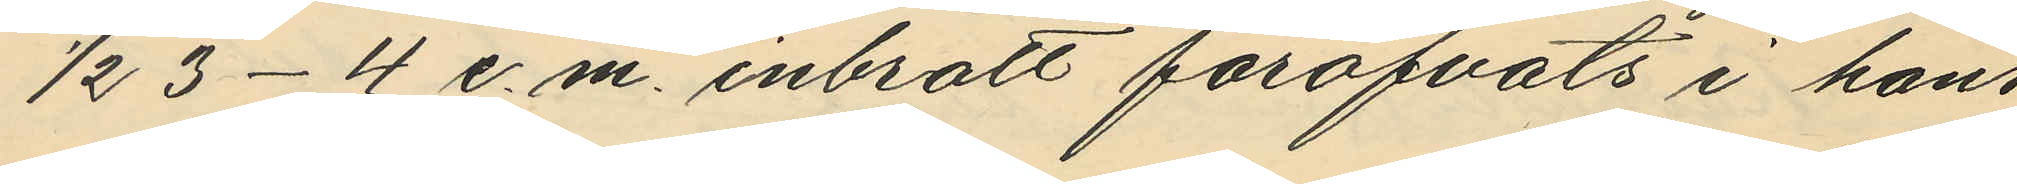1/2 3-4 e.m. inbrott föröfvats i hans
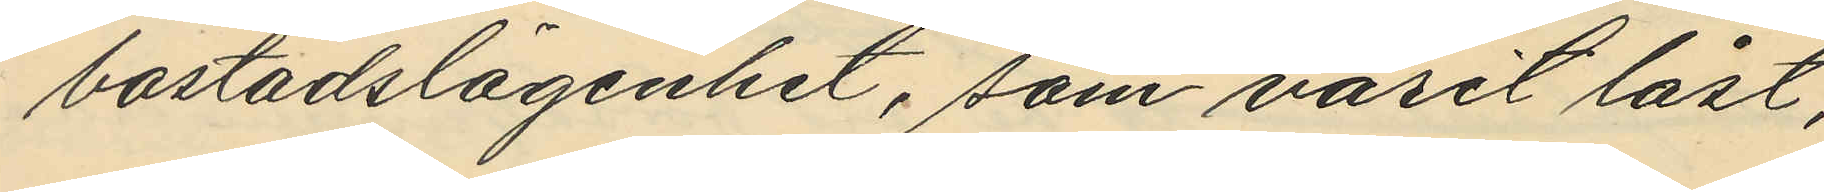bostadslägenhet, som varit låst;
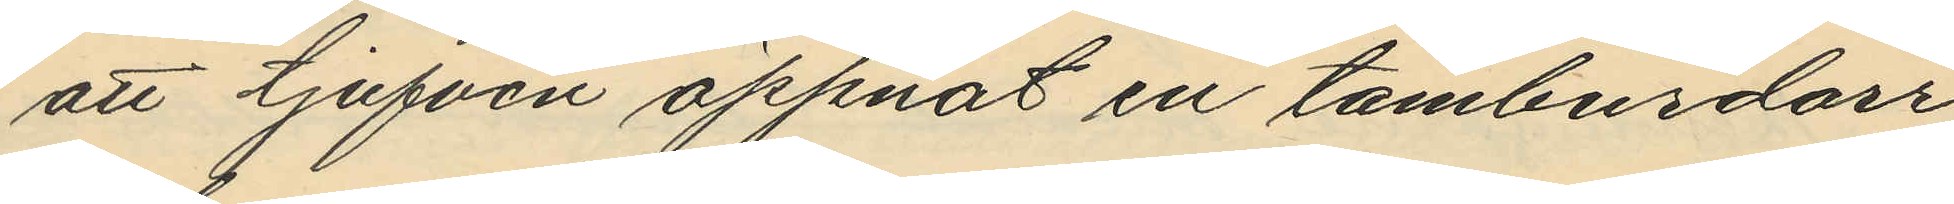att tjufven öppnat en tamburdörr
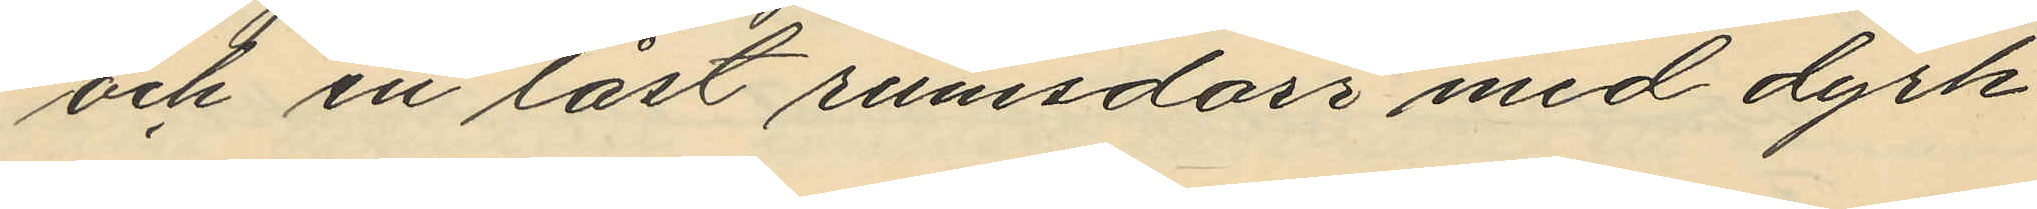och en låst rumsdörr med dyrk
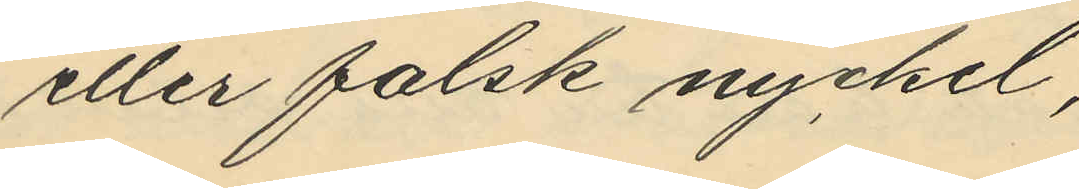eller falsk nyckel;
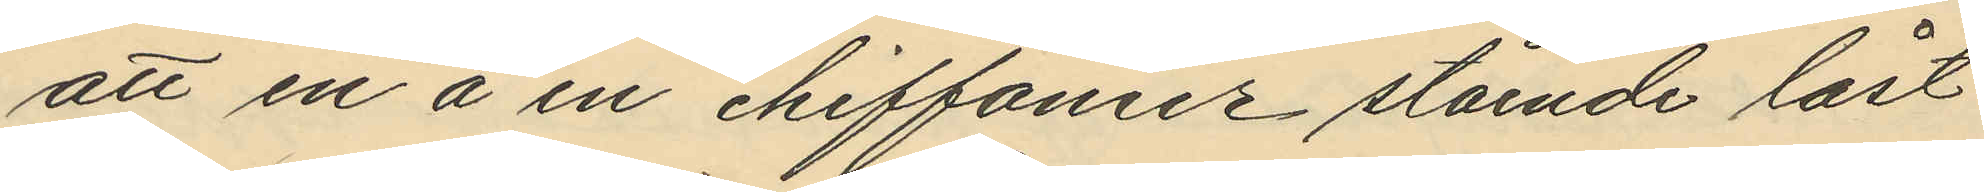att en å en chiffonier stående låst
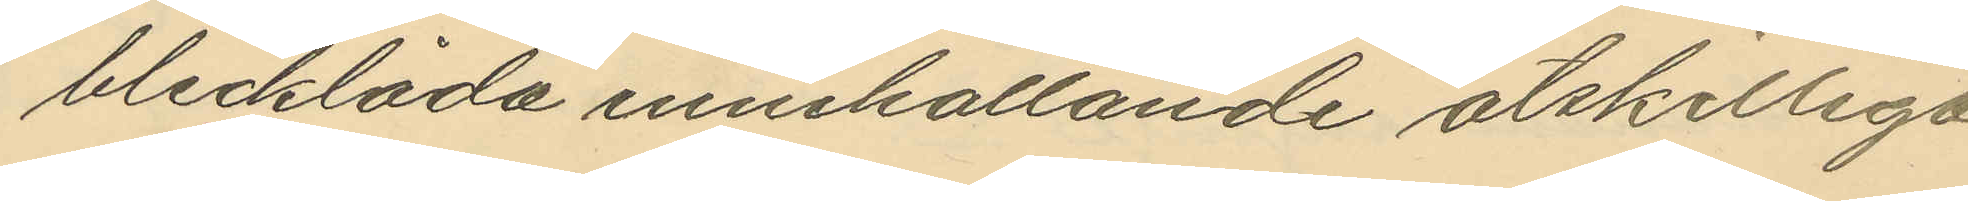blecklåda innehållande åtskilliga
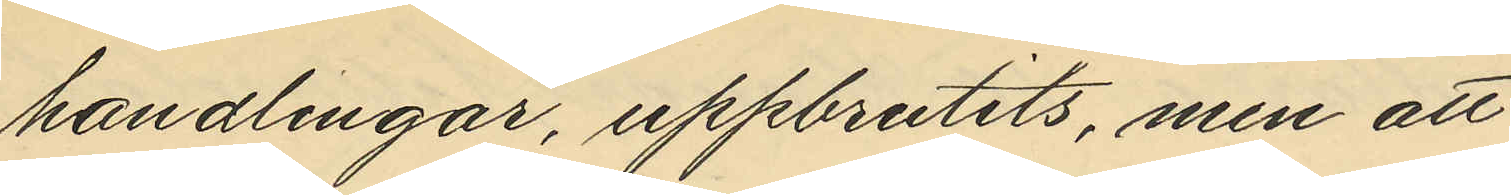handlingar, uppbrutits, men att
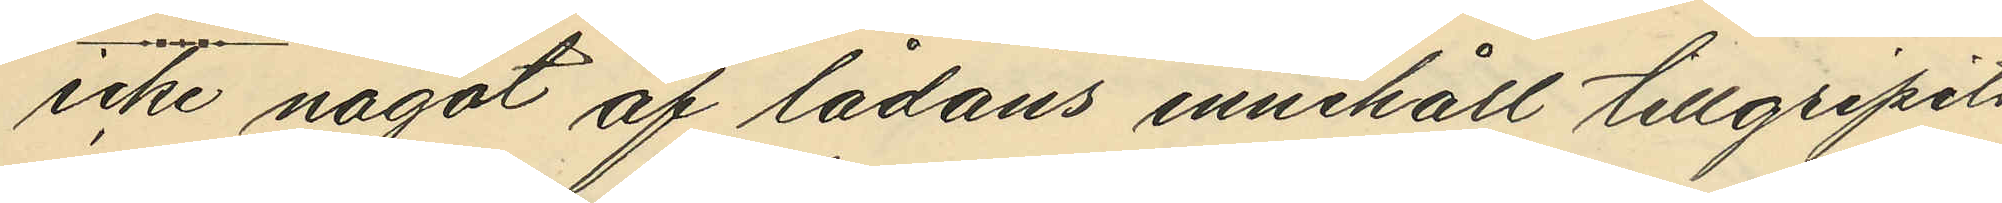icke något af lådans innehåll tillgripits
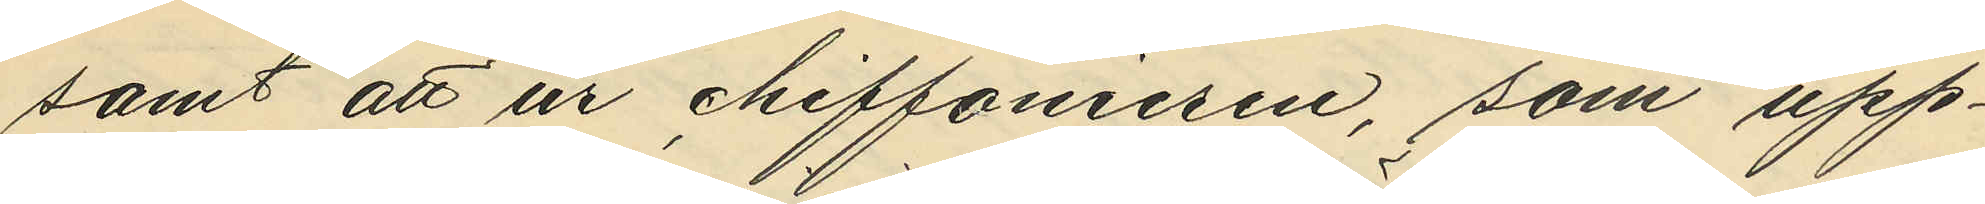samt att ur chiffonieren, som upp¬
